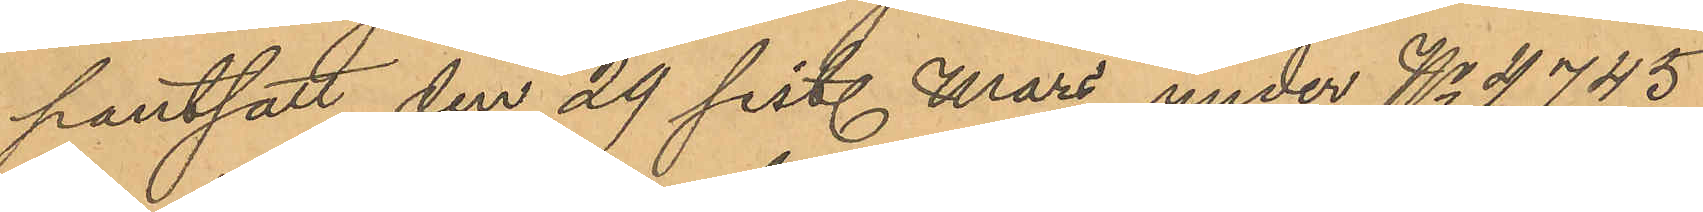pantsatt den 29 sist. Mars under No 4,745
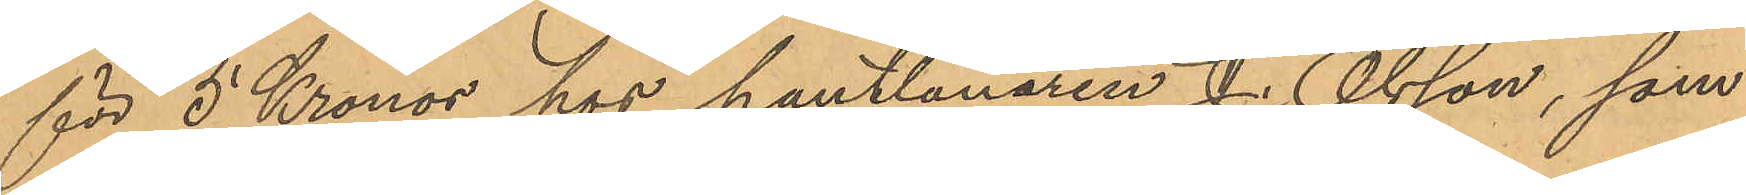för 5 Kronor hos pantlånaren J. Olsson, som
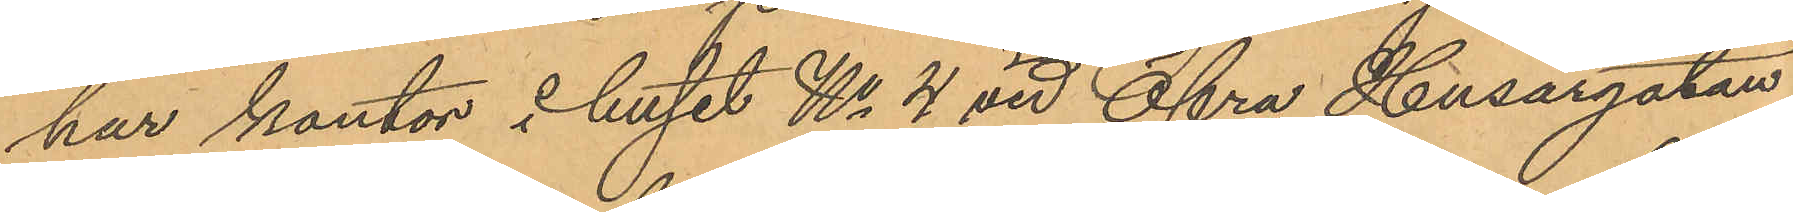har kontor i huset No 4 vid Öfra Husargatan
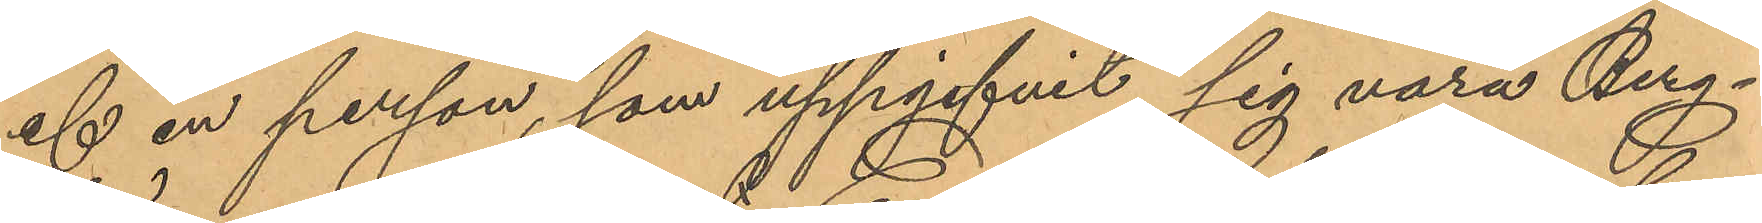af en person, som uppgifvit sig vara Berg¬
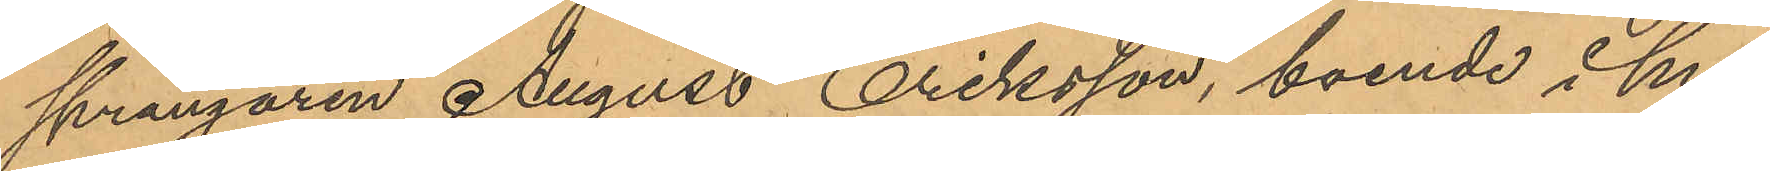sprängaren August Eriksson, boende i hu¬
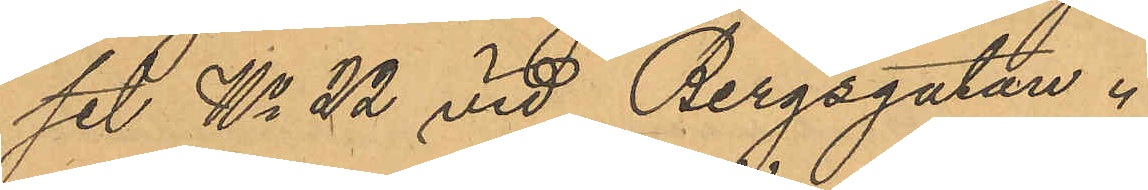set No 22 vid Bergsgatan.
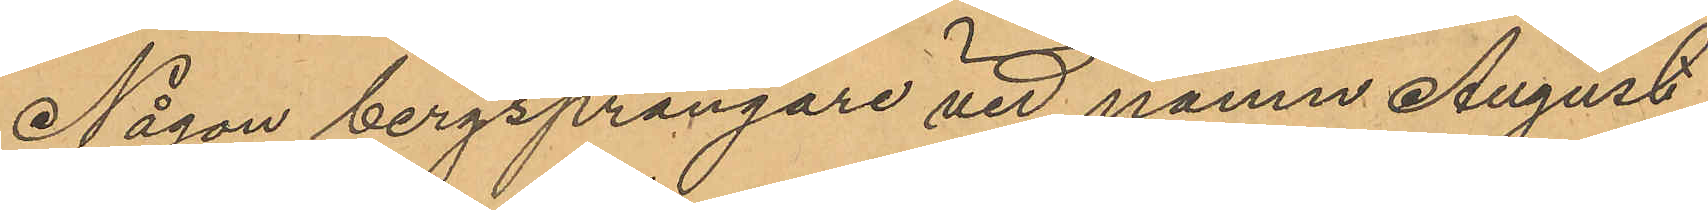Någon bergsprängare vid namn August
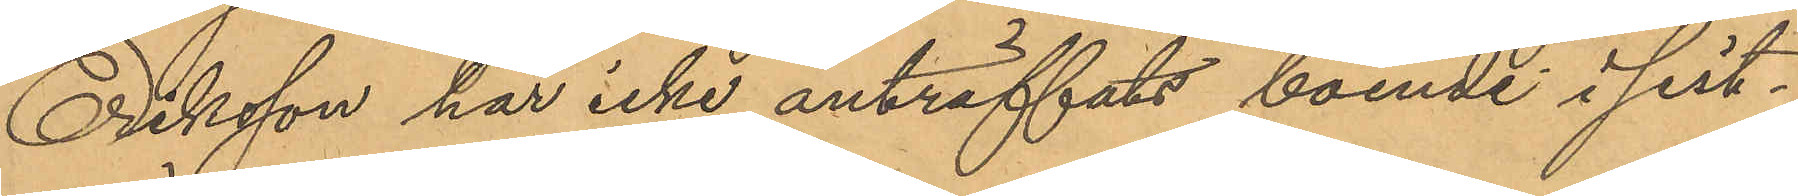Eriksson har icke anträffats boende i sist¬
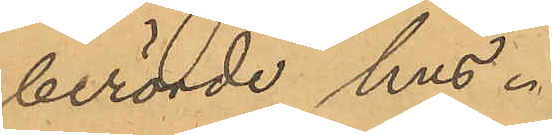berörde hus.
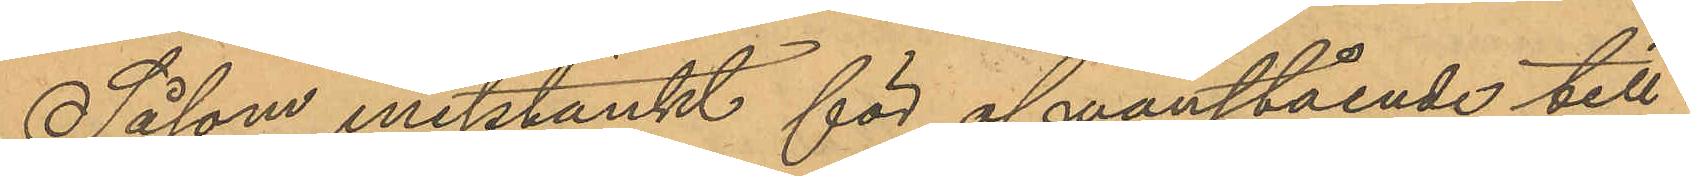Såsom misstänkt för ofvanstående till¬
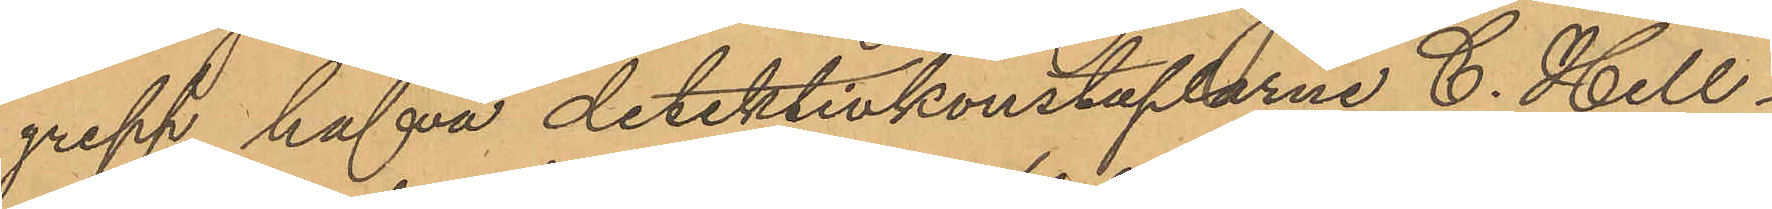grepp hafva detektivkonstaplarne C. Hell¬
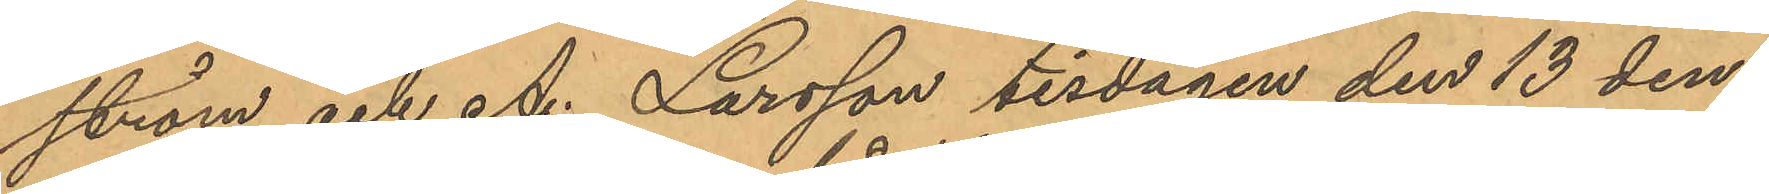ström och A. Larsson tisdagen den 13 den¬
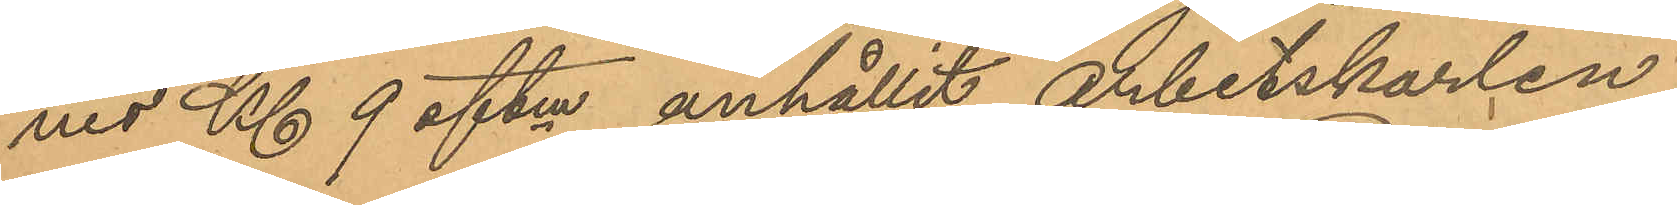nes Kl 9 eftm anhållit arbetskarlen
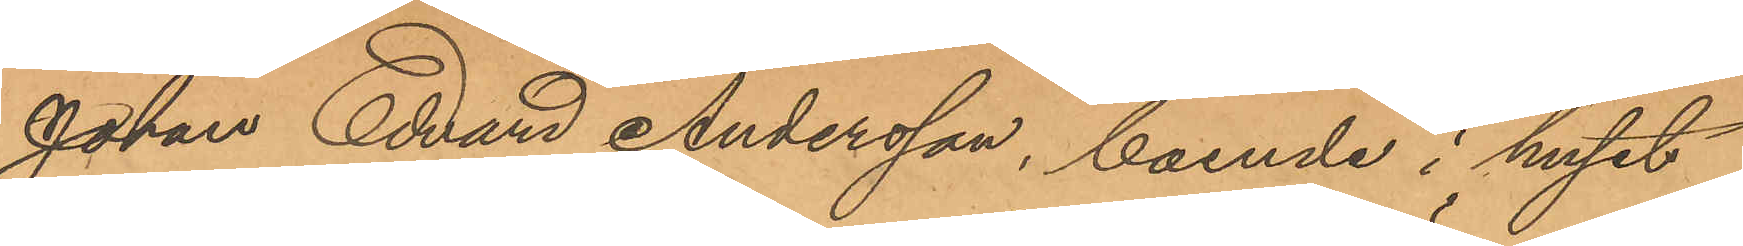Johan Edvard Andersson, boende i huset
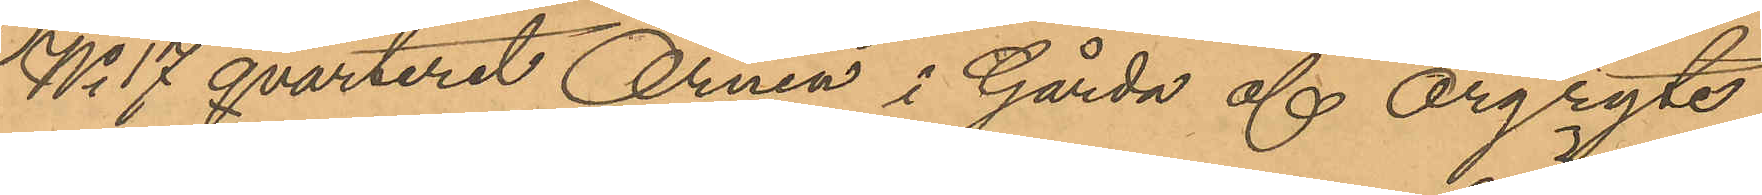No 17 qvarteret Örnen i Gårda af Örgryte
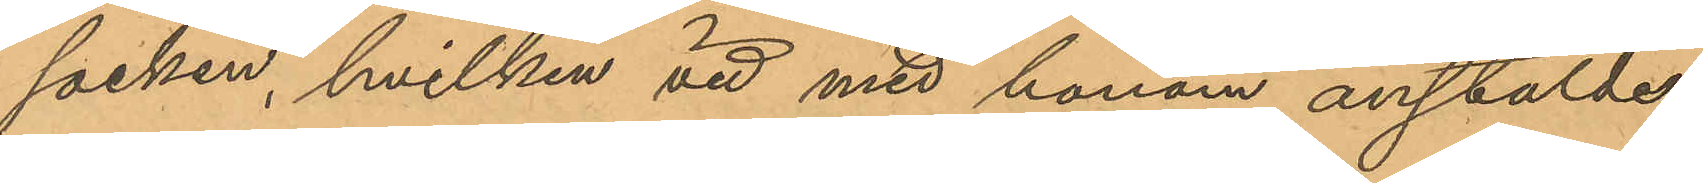socken, hvilken vid med honom anstälde
